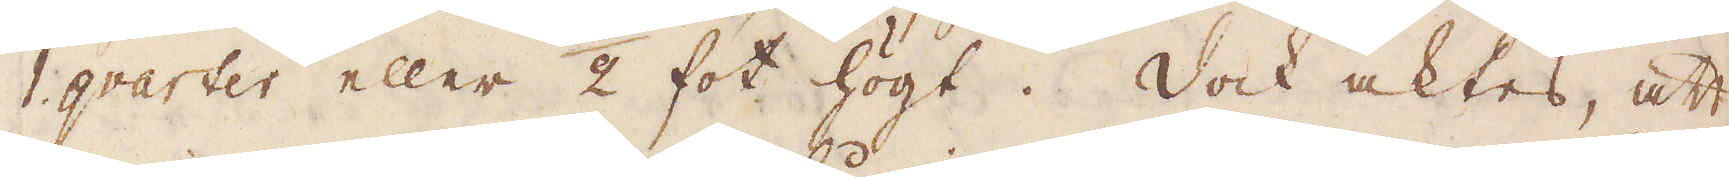1 gvarter eller 1/2 fot högt. Dock aktes, att
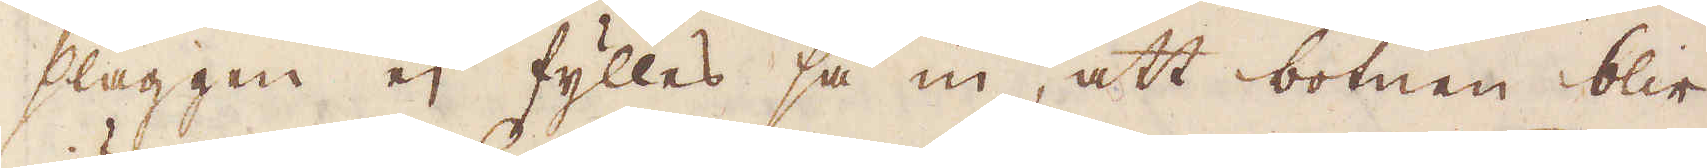slaggen ej fylles så in, att botnen blir
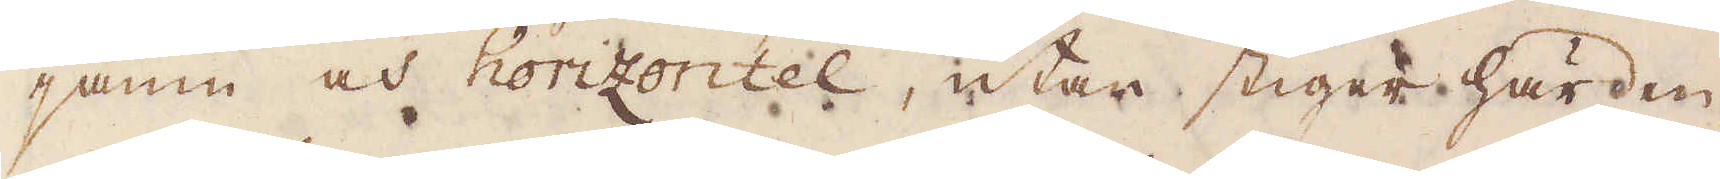jämn och horizontel, utan stiger härden
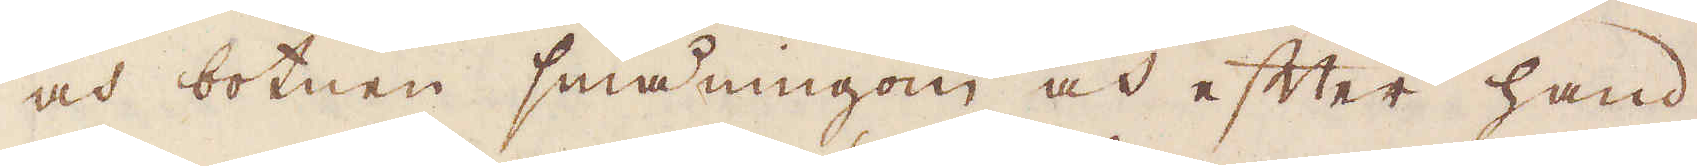och botnen småningom och efter hand
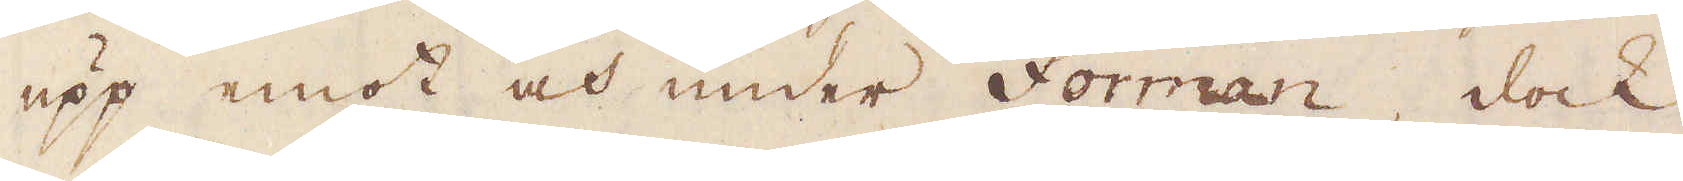upp emot och under Forman, dock
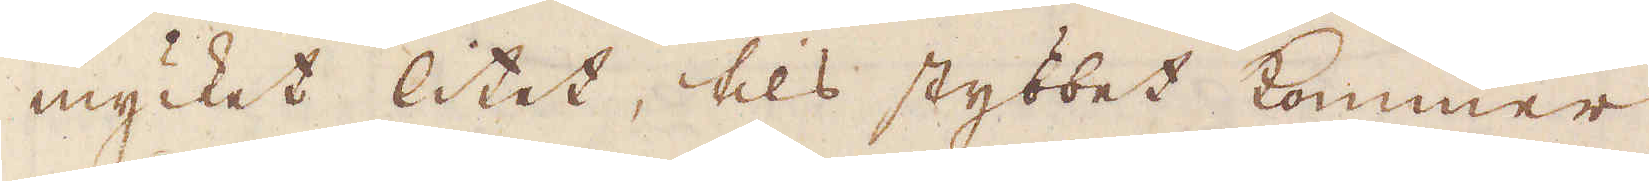mycket litet, tils stybbet kommer
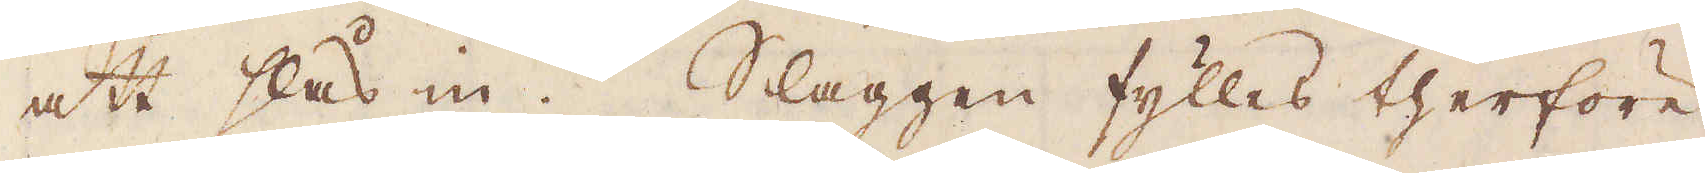att slås in. Slaggen fylles therföre
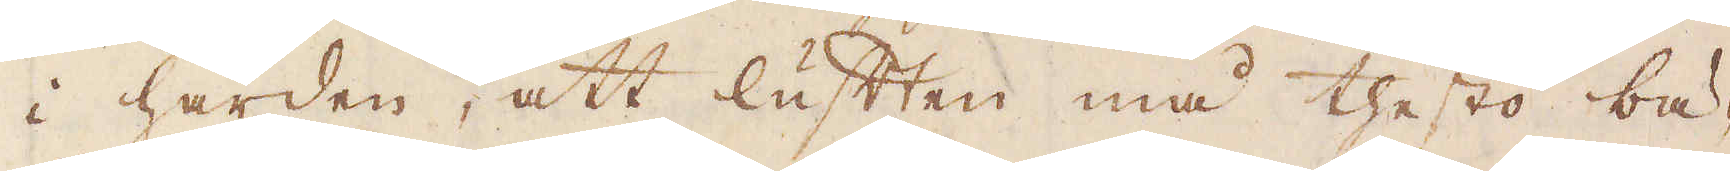i härden, att luften må thesto bä-
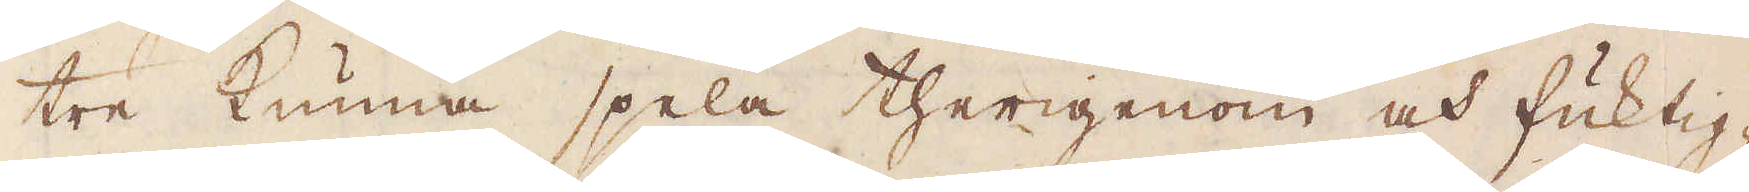tre kunna spela therigenom och fuktig-
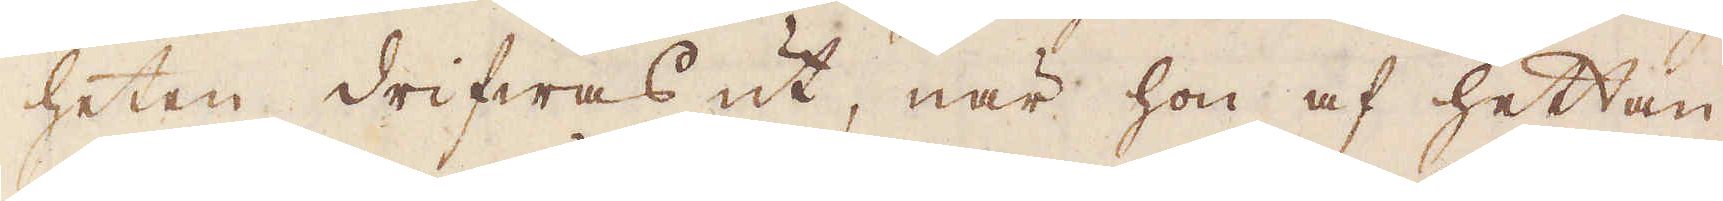heten drifwas ut, när hon af hettan
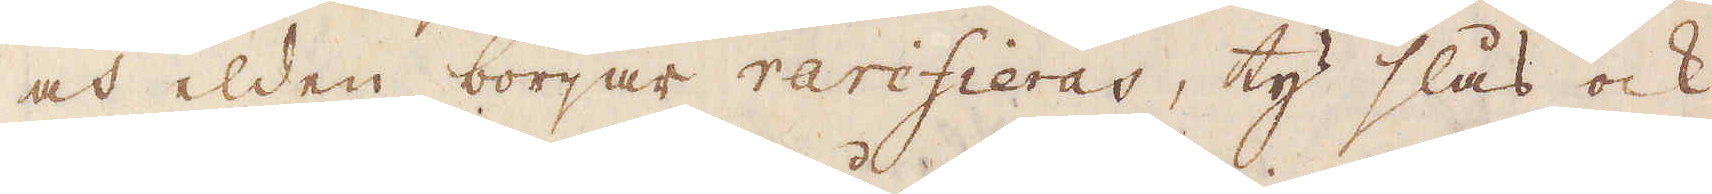och elden börjar rarifieras, ty slås ock
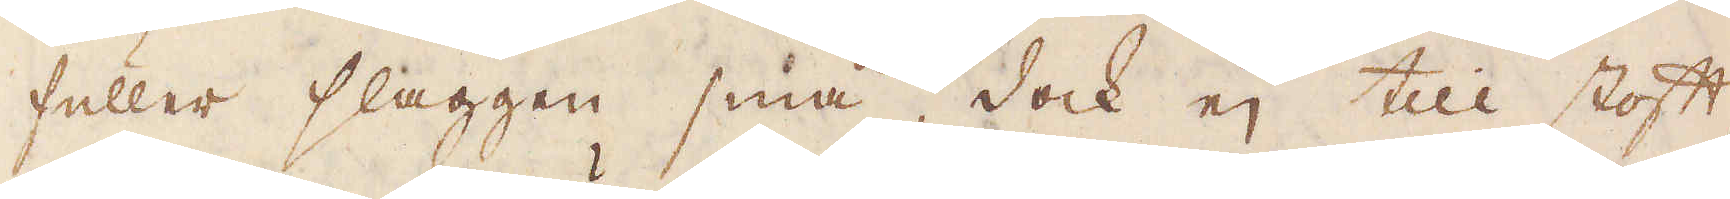fuller slaggen små, dock ej till stoft
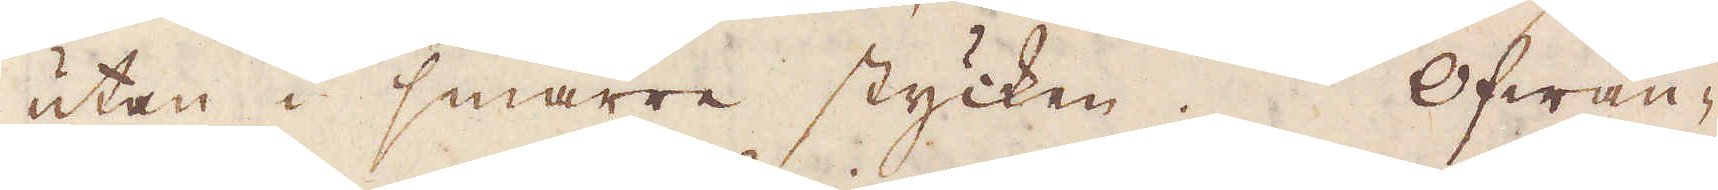utan i smärre stycken. Ofwan-
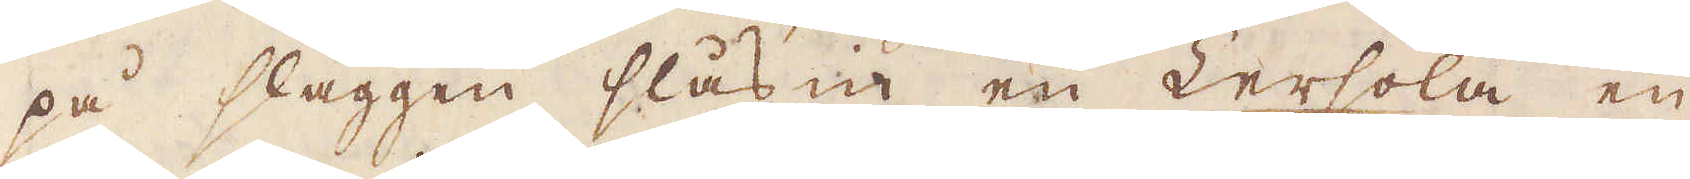på slaggen slås in en Lersola en
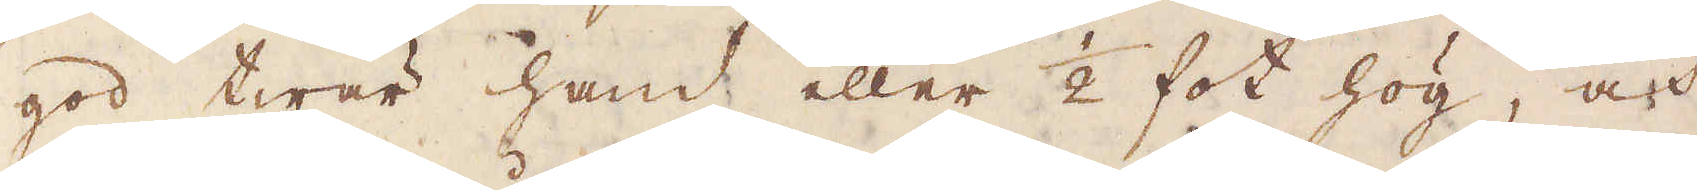god twär hand eller 1/2 fot hög, och
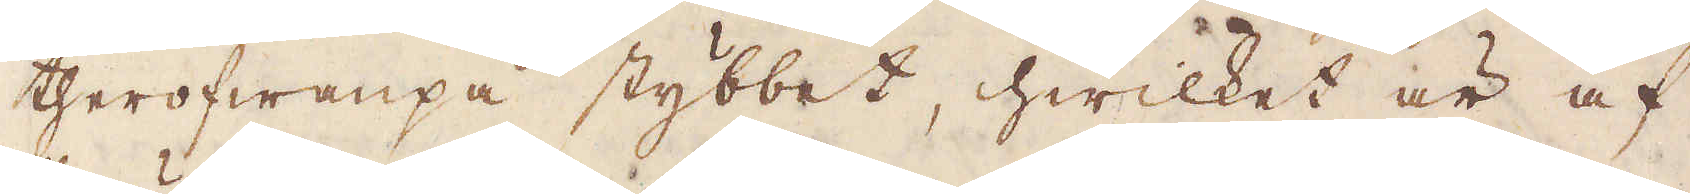therofwanpå stybbet, hwilket är af
